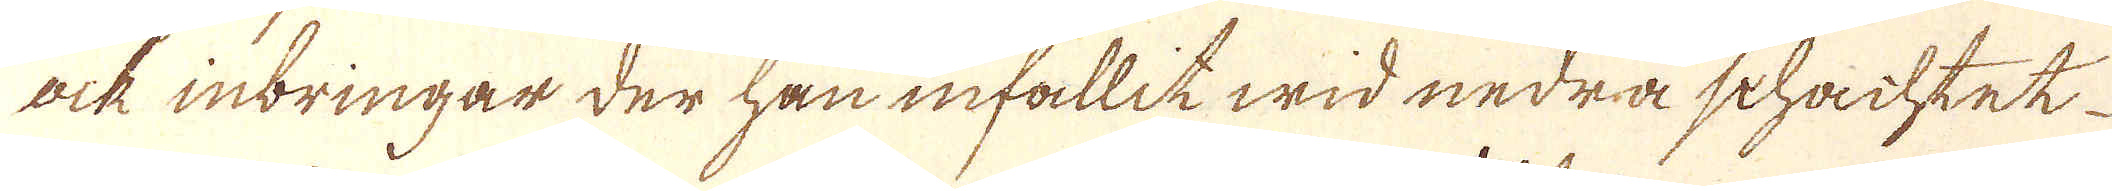ock inbringar der han infallit wid nedra schachtet
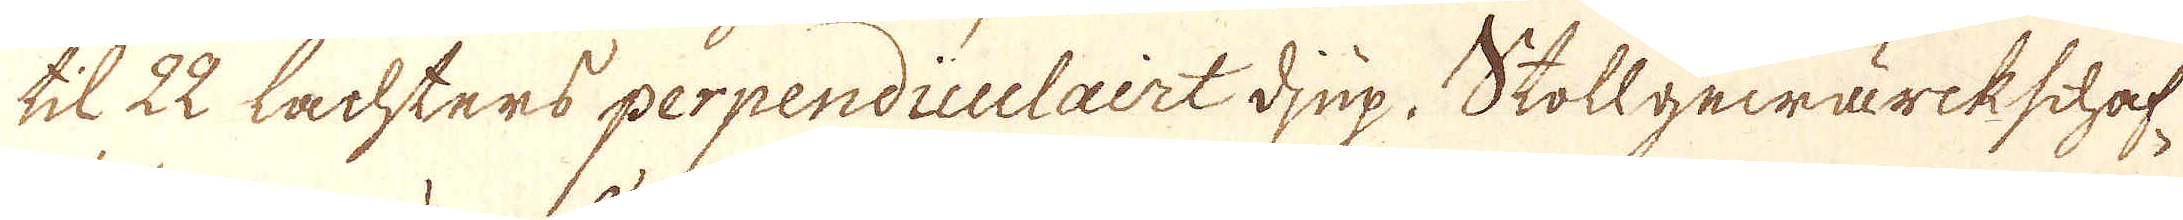til 22 Lachters perpendiculairt djup. Stollgewärkschaf-
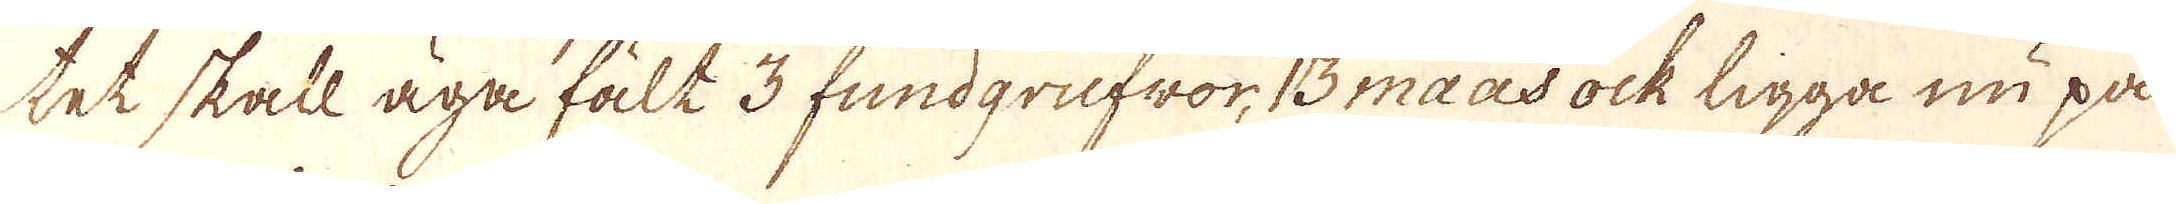tet skall äga fält 3 fundgrufwor, 13 maas ock ligga nu på
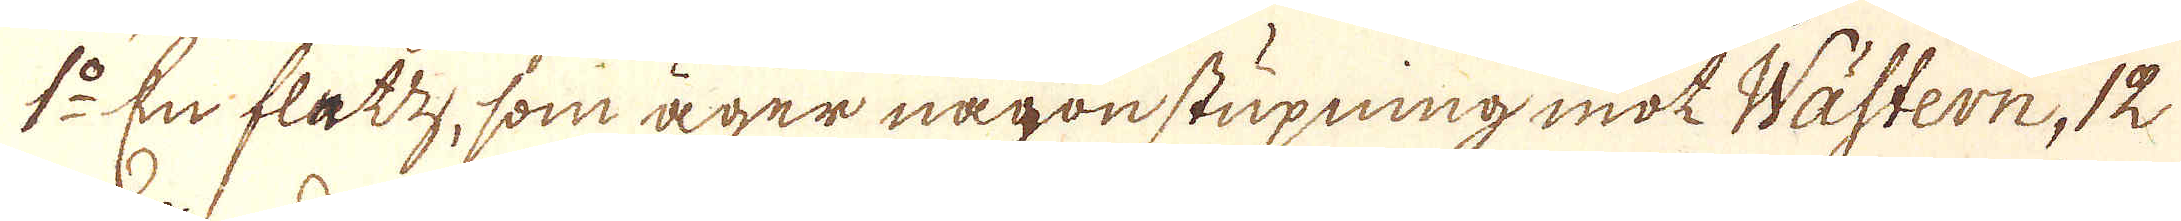1:o En flatz, som äger någon stupning mot Wästern, 12
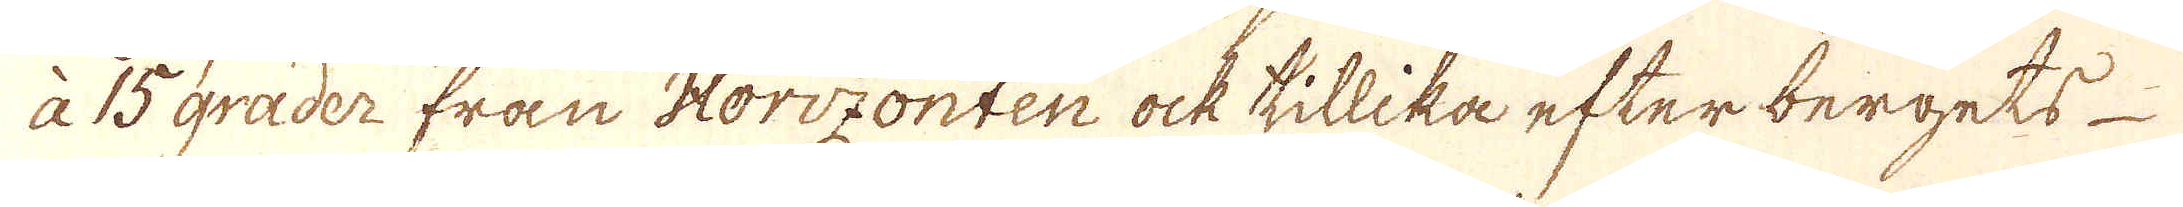à 15 grader från Horizonten ock tillika efter bergets
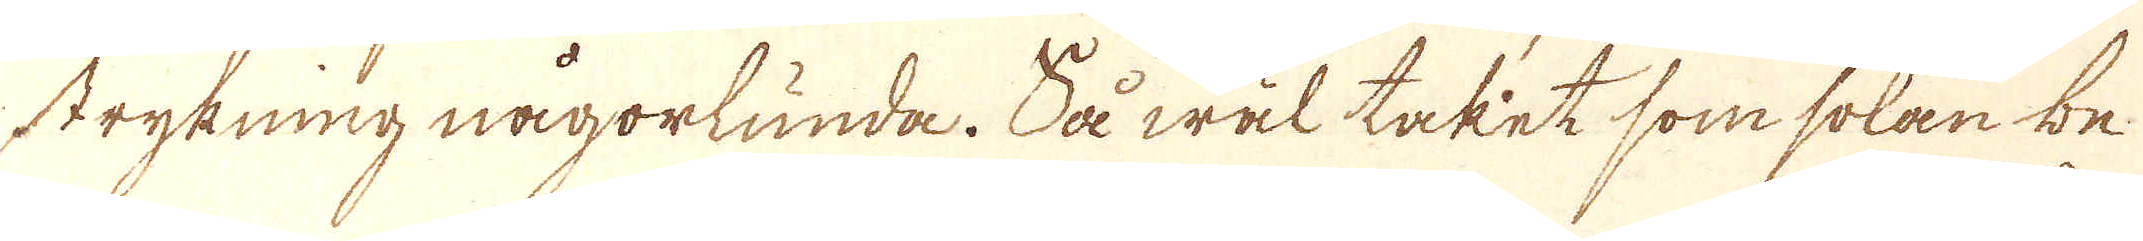strykning någorlunda. Så wäl taket som solan be-
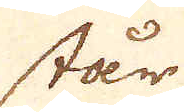står
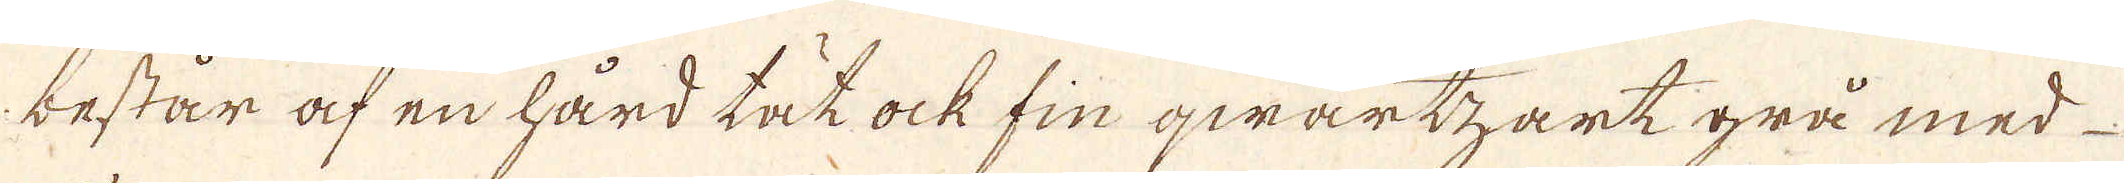består af en hård tät ock fin qwartzart grå med
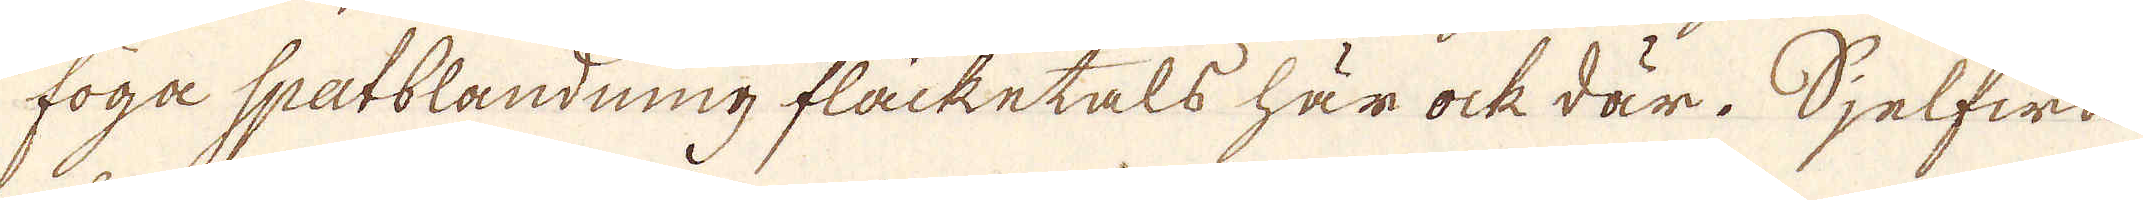föga spatblandning fläcketals här ock där. Sjelfwa
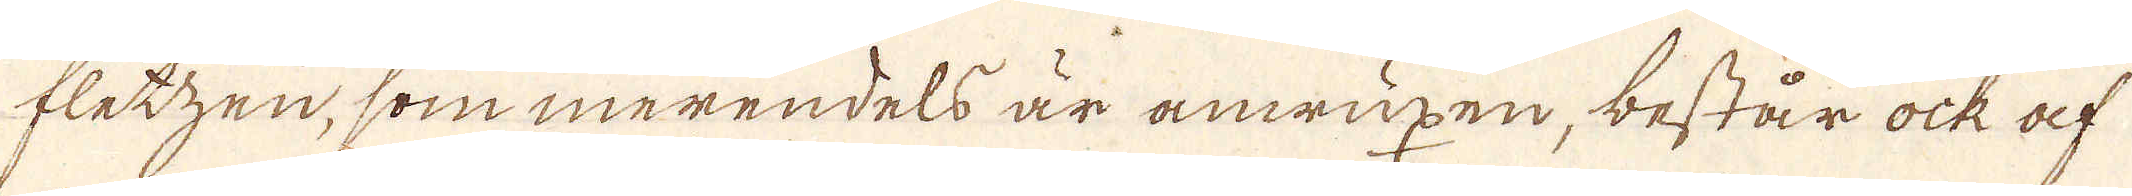fletzen, som merendels är anwuxen, består ock af
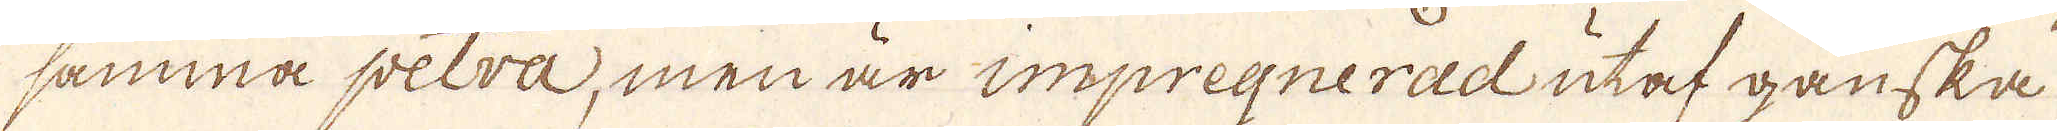samma petra, men är impregnerad utaf ganska
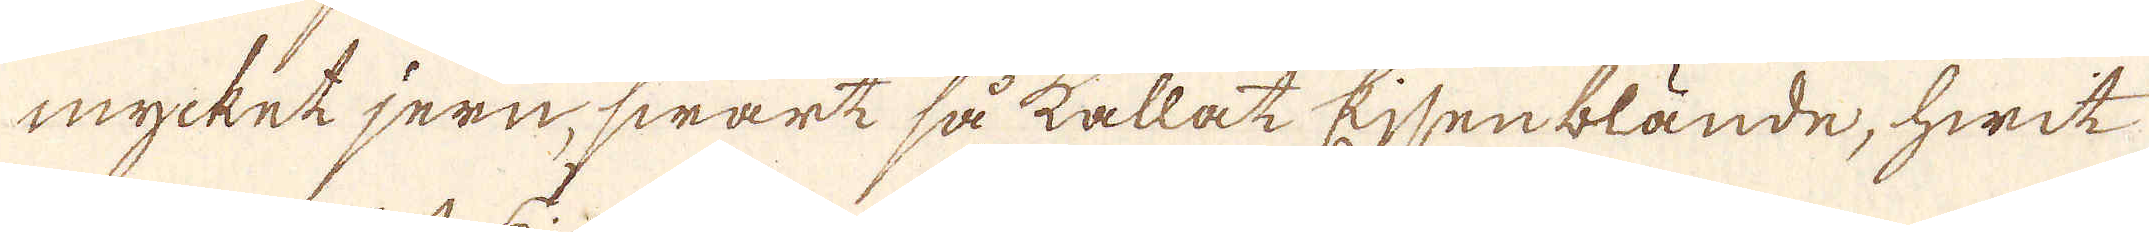mycket jern, swart så kallat Ejsenblände, hwit
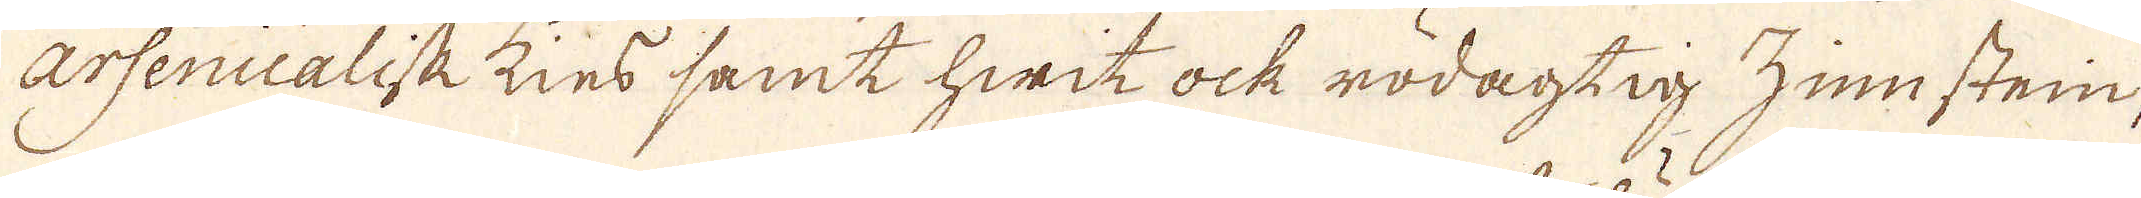Arsenicalisk kies samt hwit ock rödagtig zinnstein,
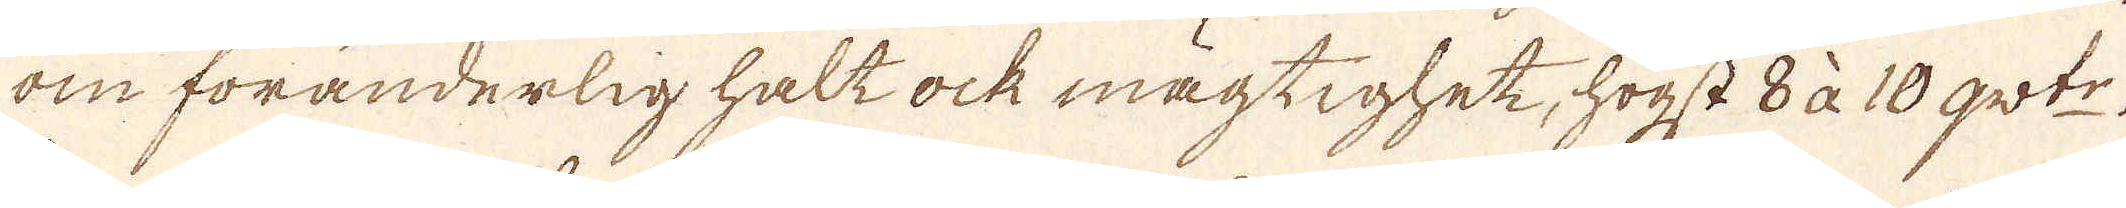om föränderlig halt ock mägtighet, högst 8 à 10 qwt:r.
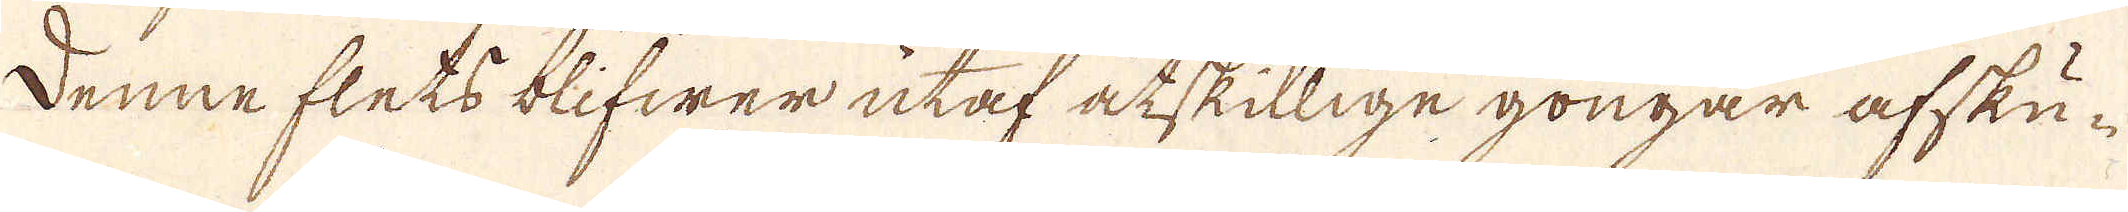Denne flets blifwer utaf åtskillige gongar afsku-
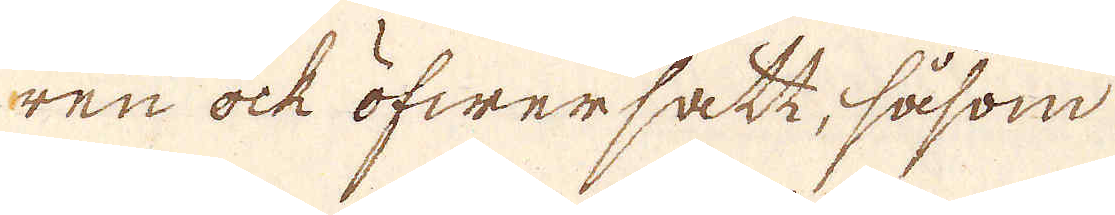ren ock öfwersatt, såsom
